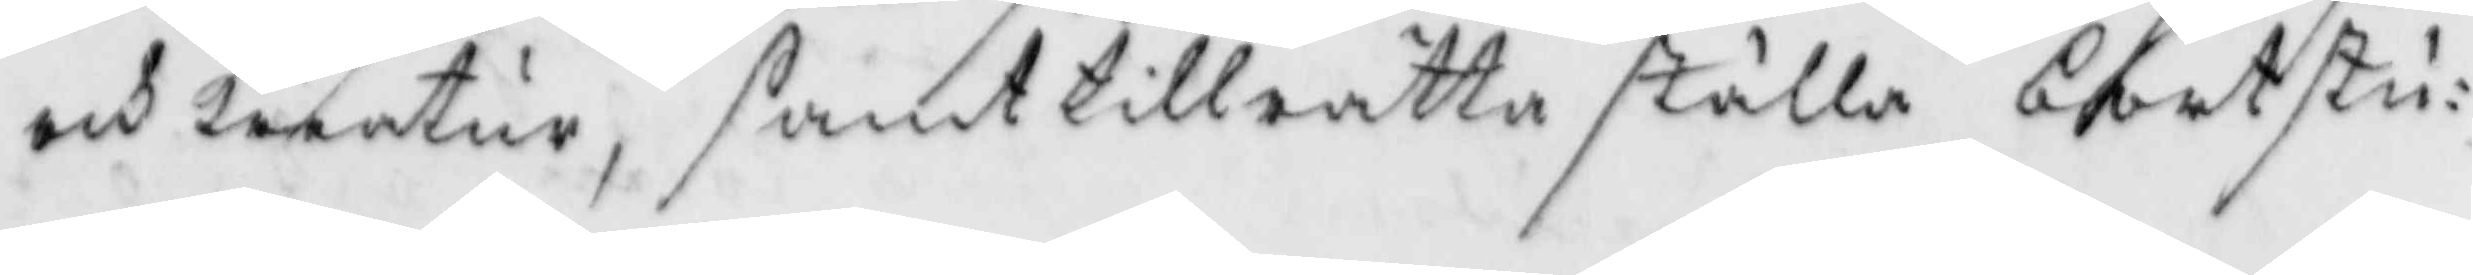och kreatur, samt tillrätta ställa bortstu¬
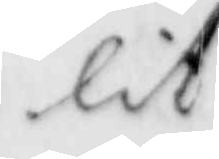lit
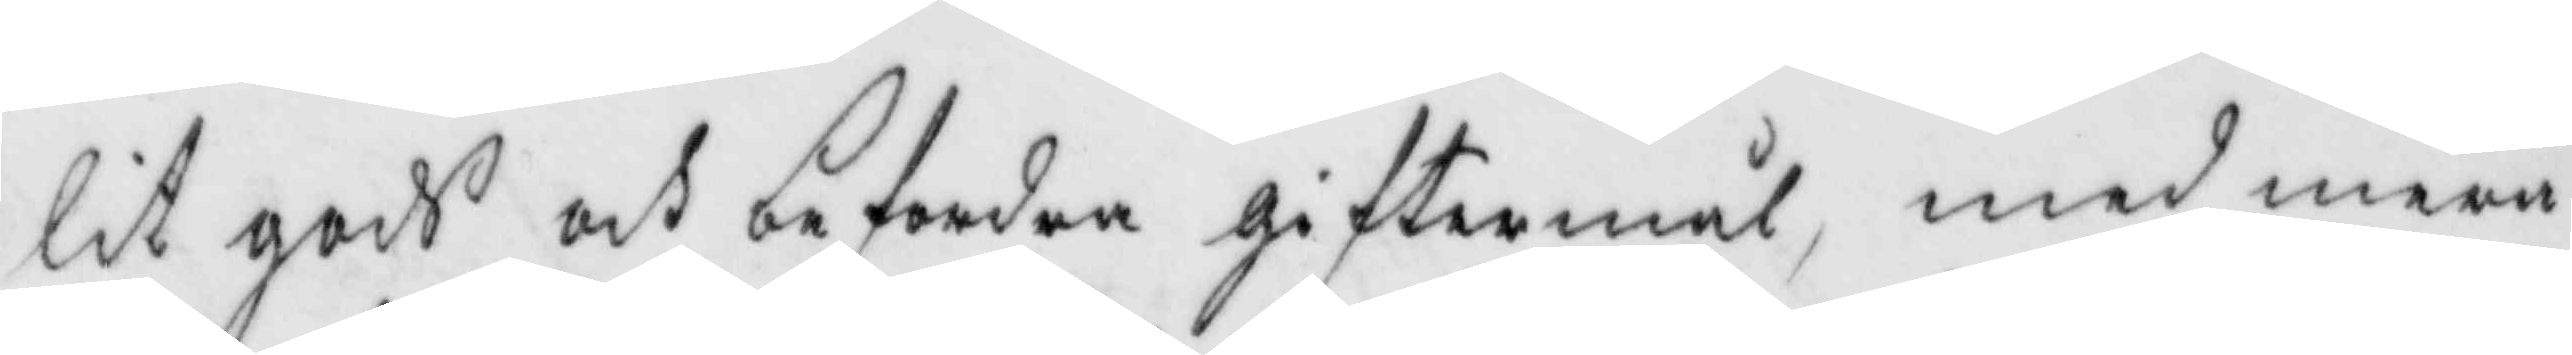lit gods och befordra giftermål, med mera
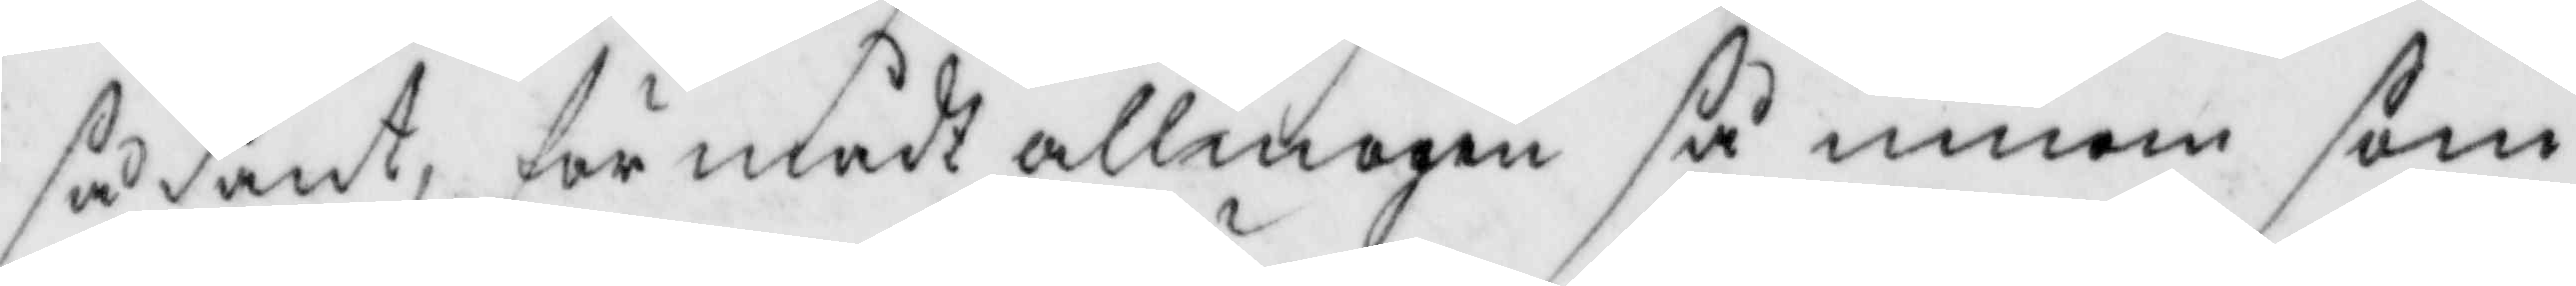sådant, förmådt allmogen så innom som
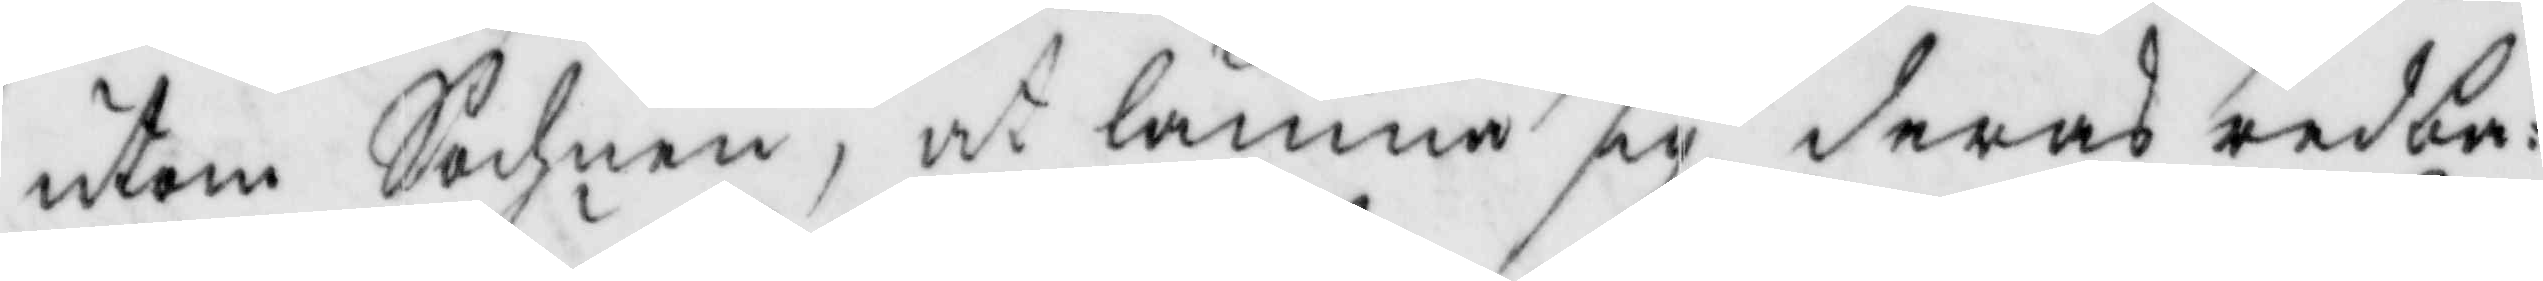utom Sochnen, at lämna sig deras redba¬
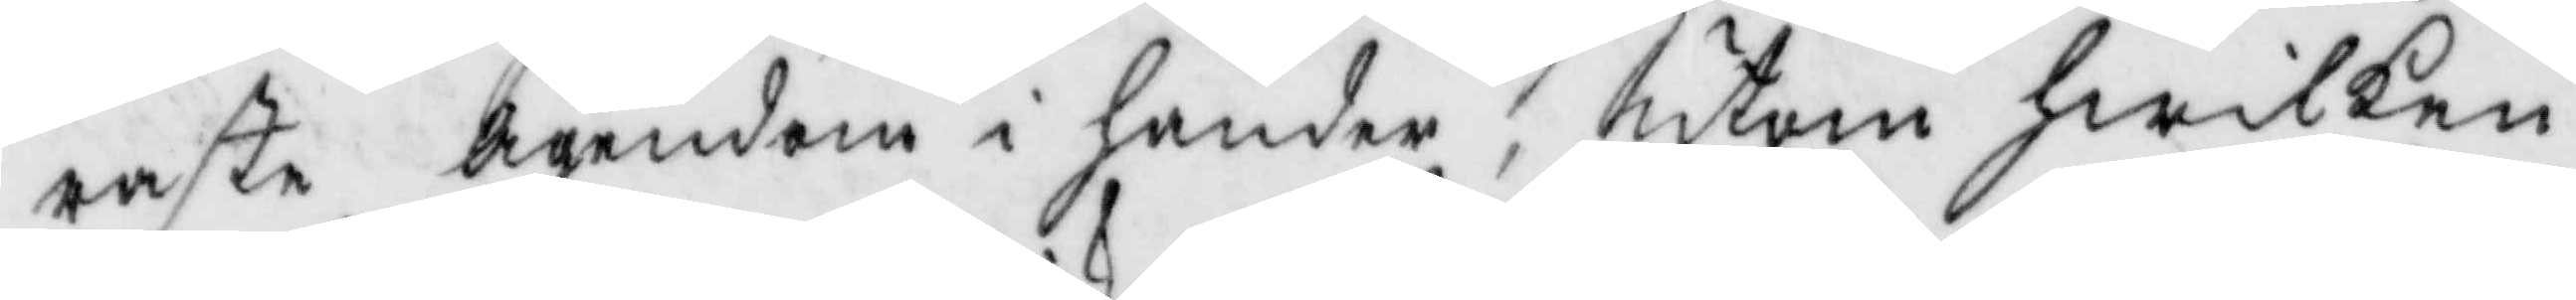raste ägendom i händer, utom hwilken
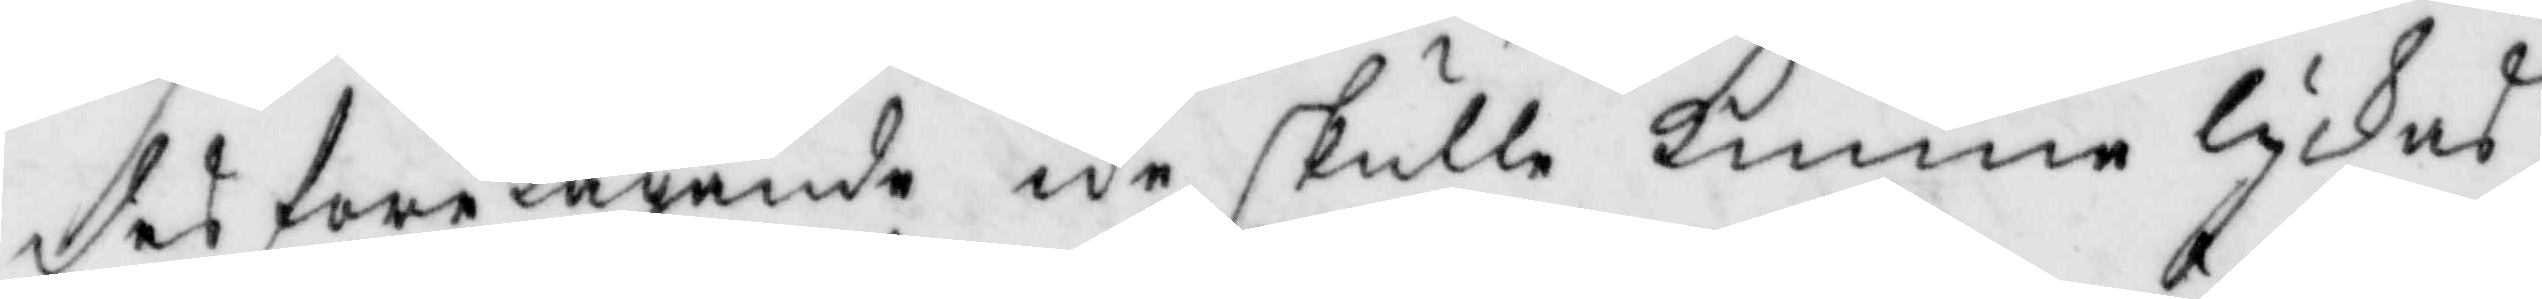des företagande icke skulle kunna lyckas
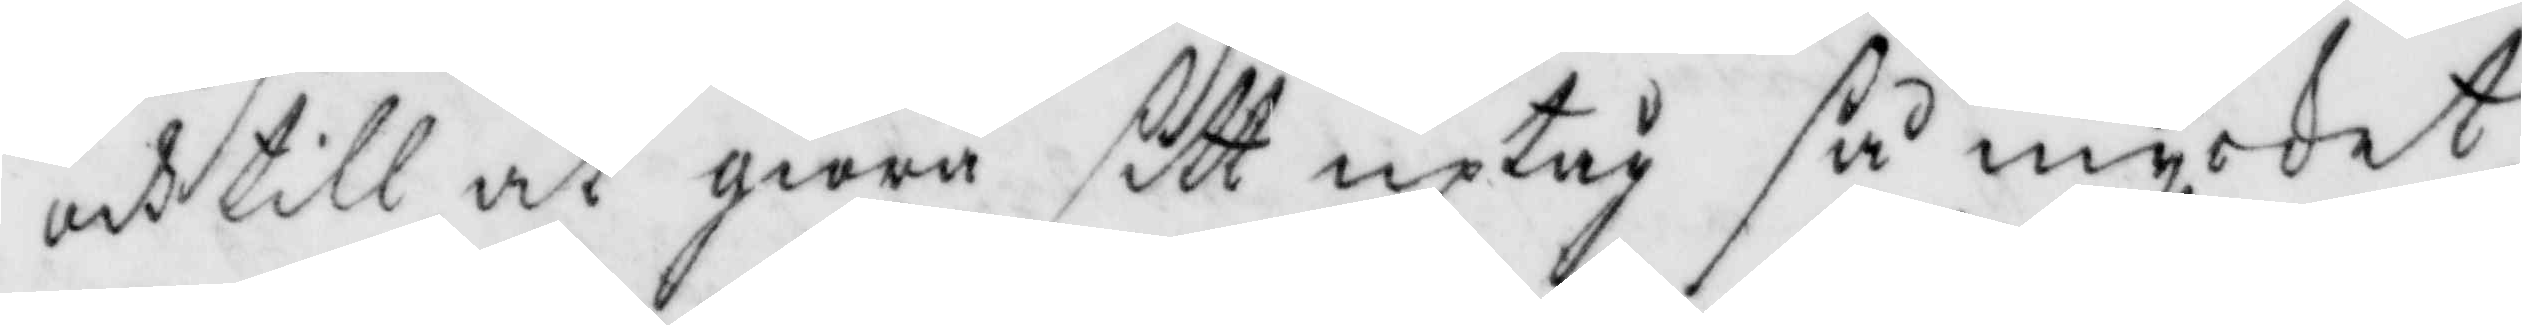och till at giöra sitt uptåg så mycket
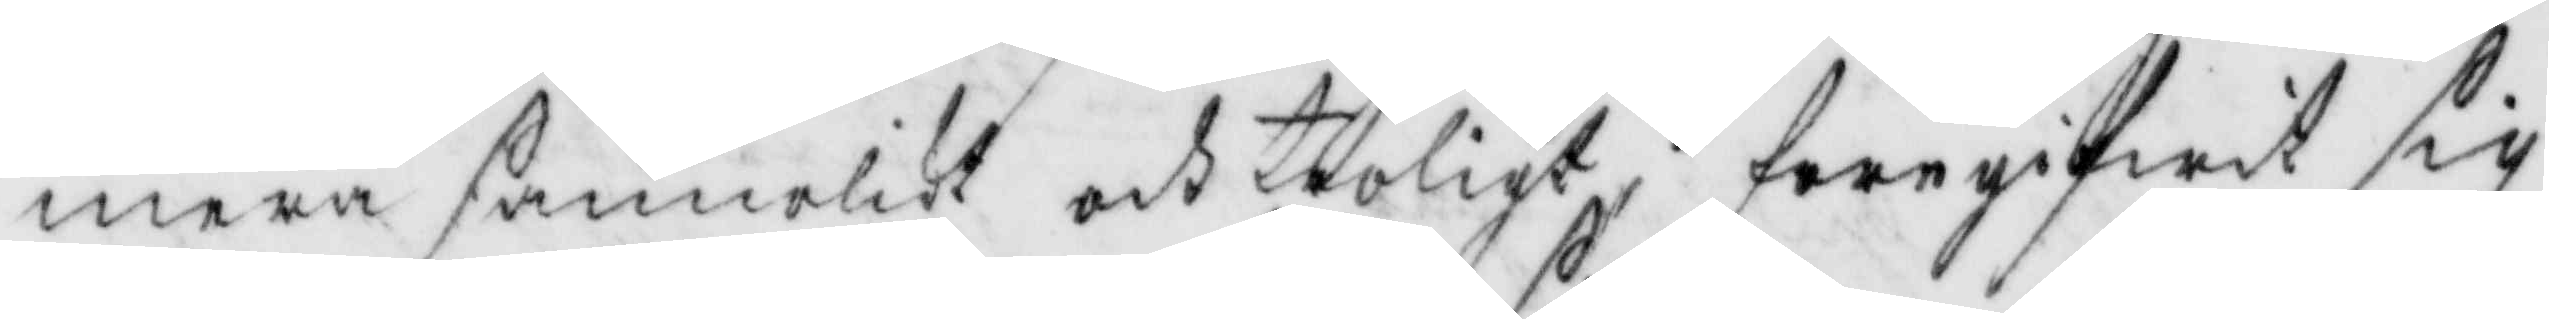mera sannolikt och troligt, föregifwit sig
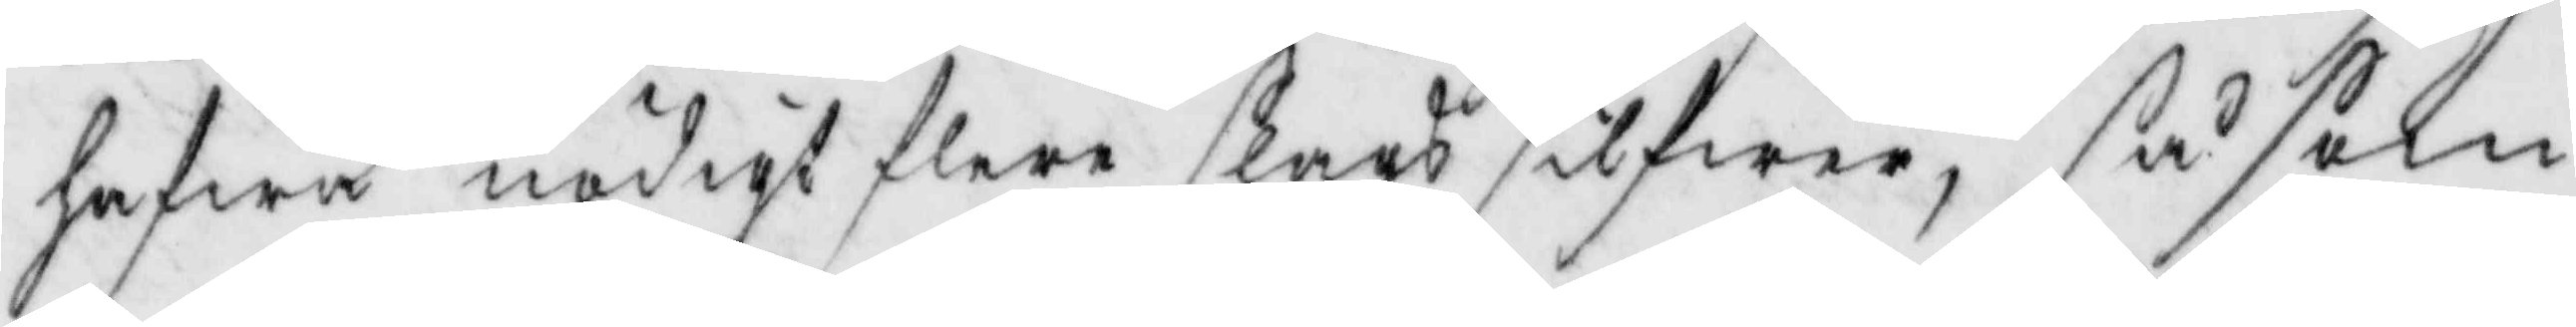hafwa nödigt flere slags silfwer, så som
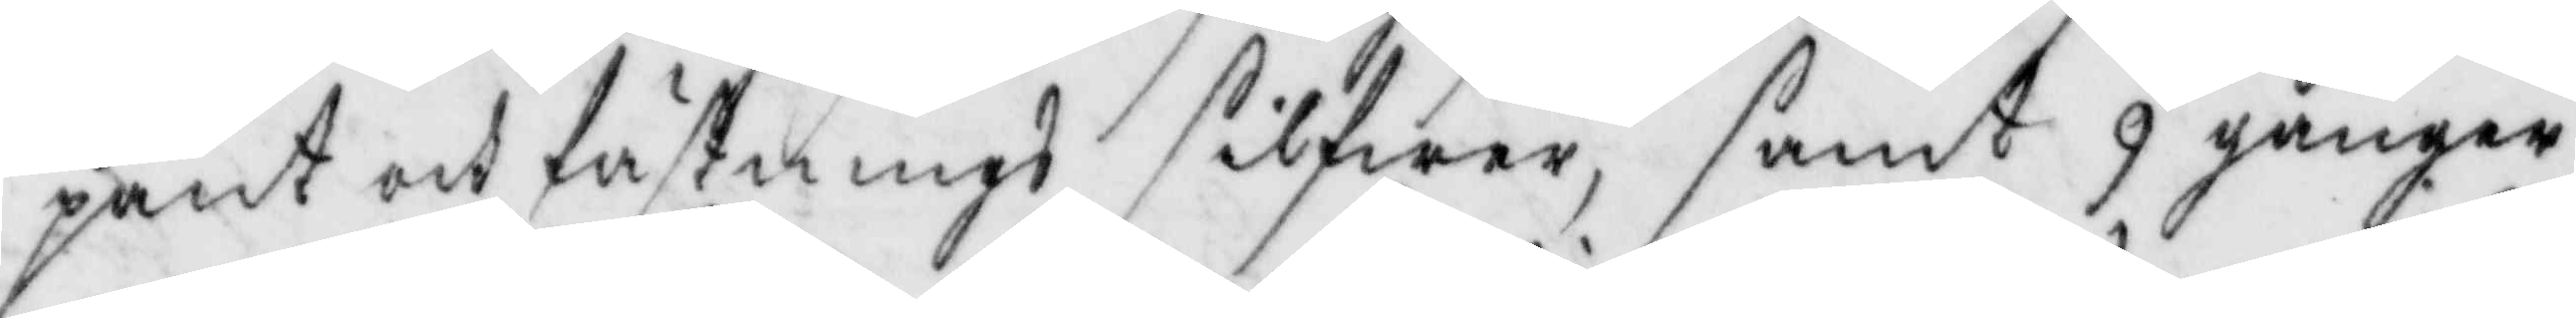pant och fästnings silfwer, samt 9 gånger
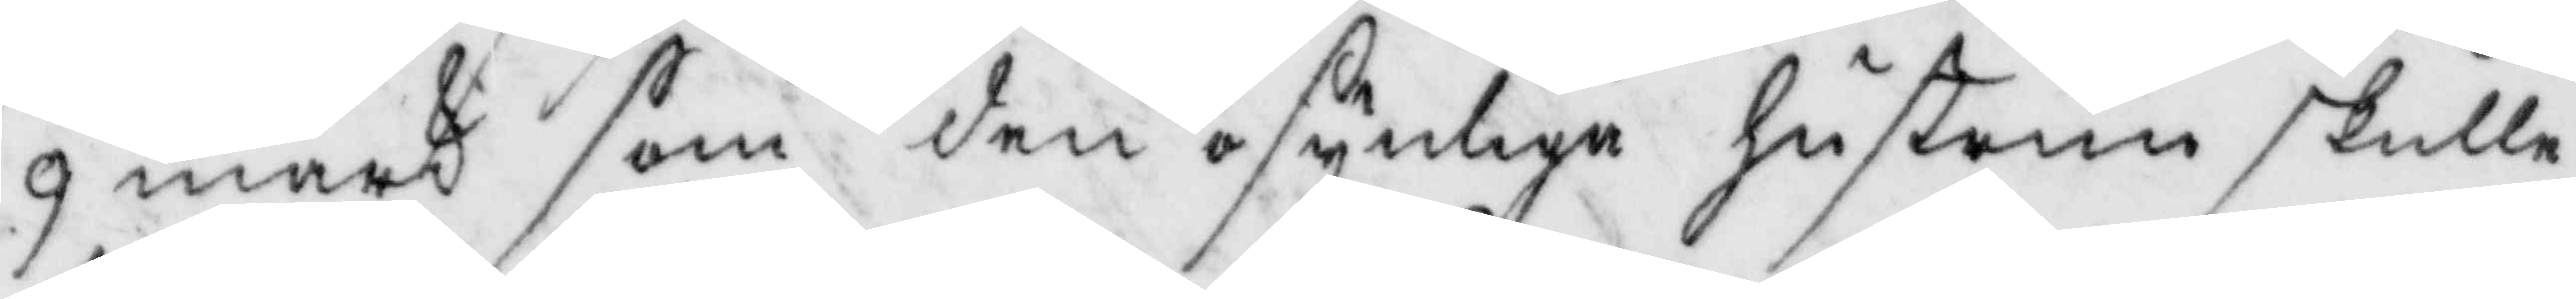9 mark som den osynliga hustrun skulle
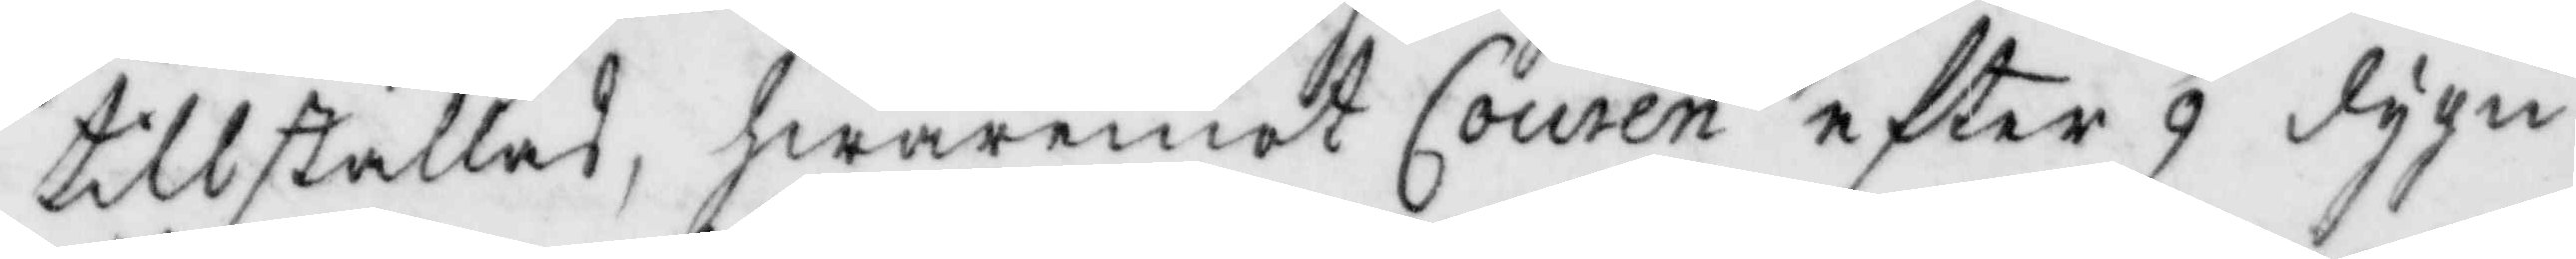tillställas, hwaremot Couren efter 9 dygn
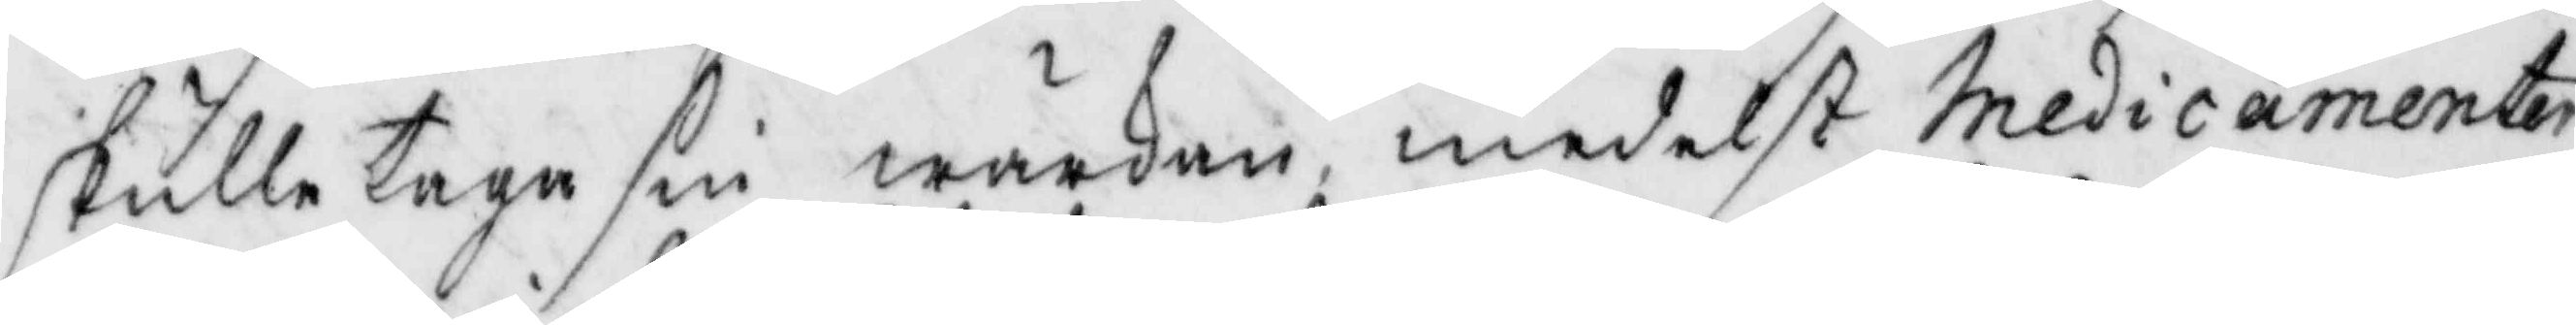skulle taga sin wärkan, medelst Medicamenter
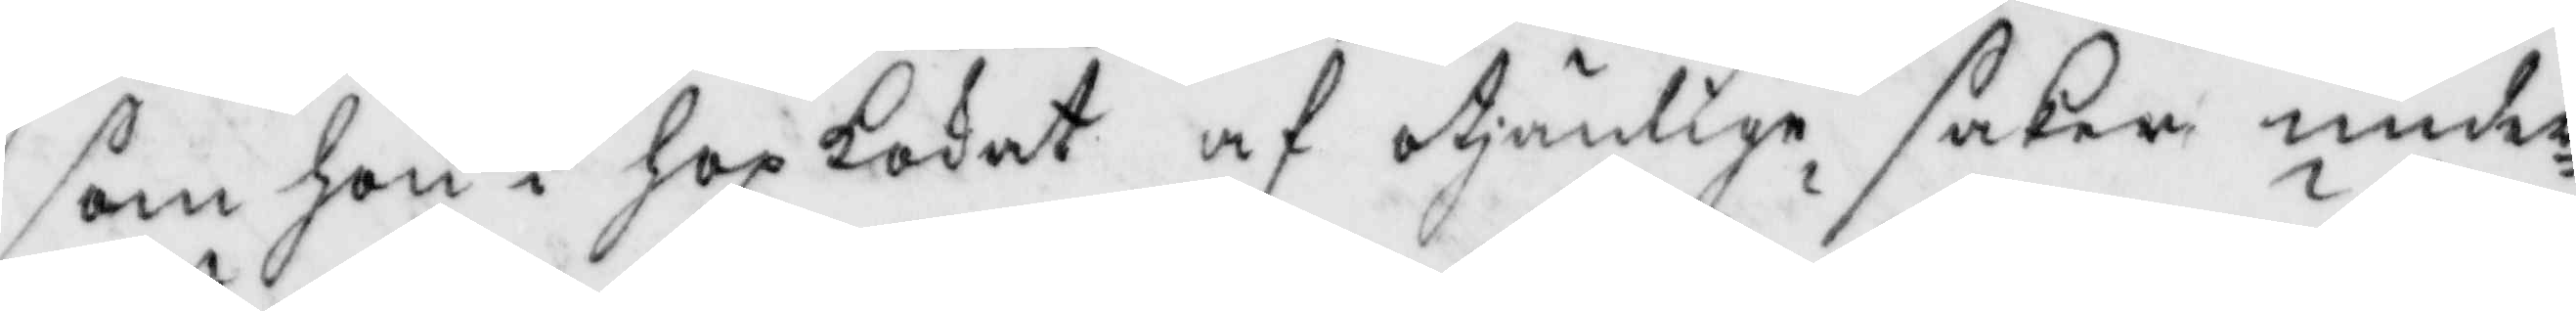som hon i hopkokat af otjänlige saker under
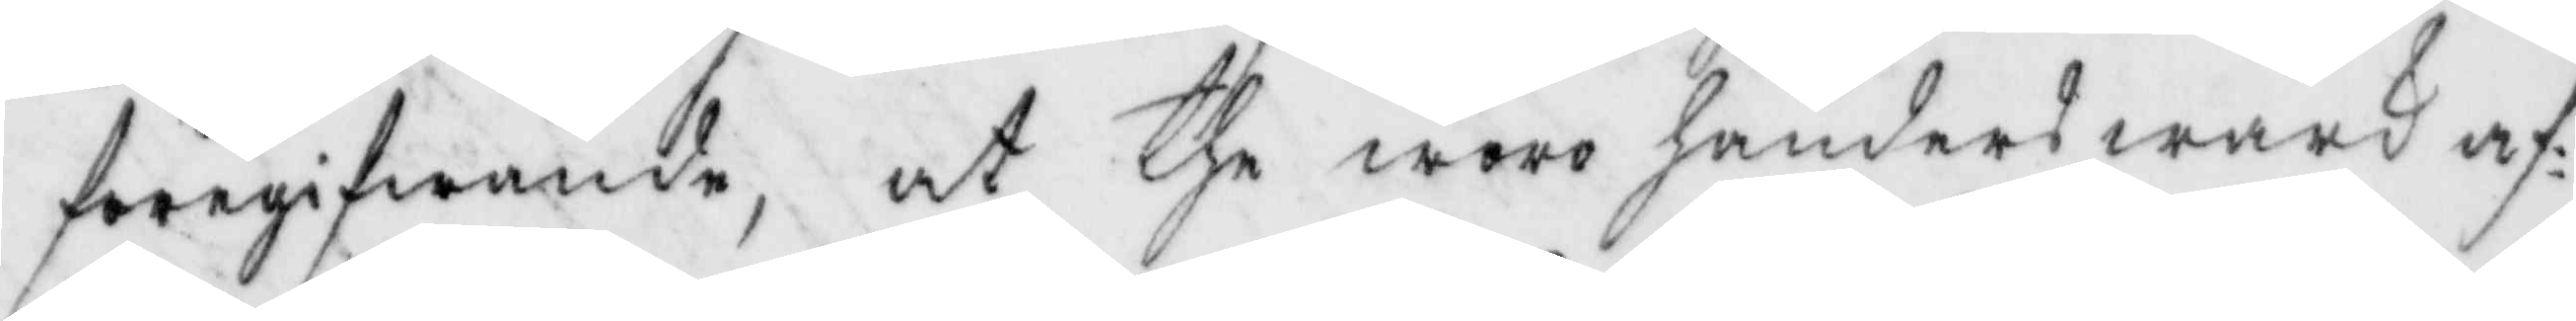föregifwande, at the woro händers wärk af
